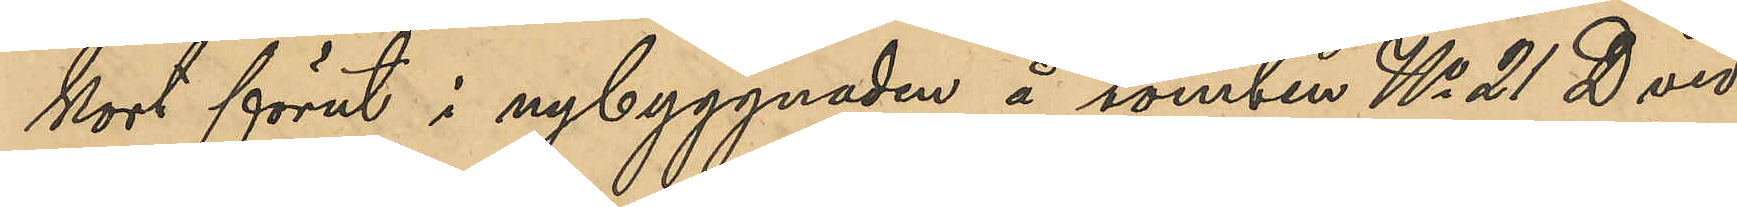kort förut i nybyggnaden å tomten No 21 D vid
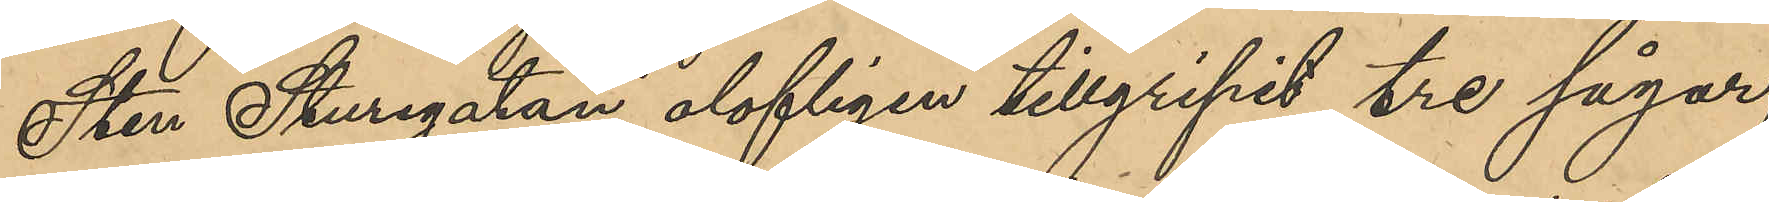Sten Sturegatan olofligen tillgripit tre sågar,
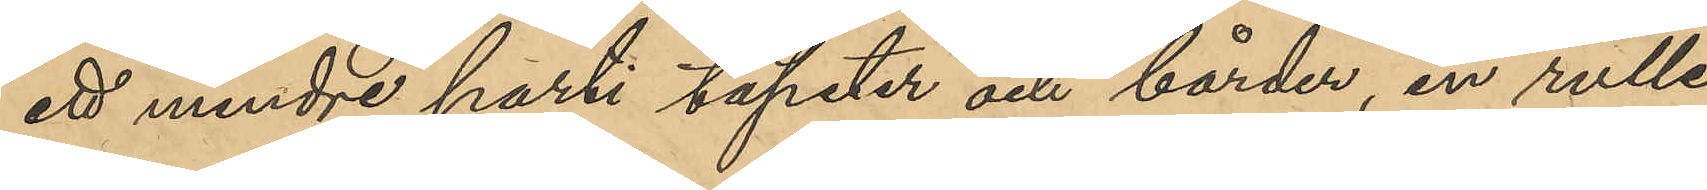ett mindre parti tapeter och bårder, en rulle
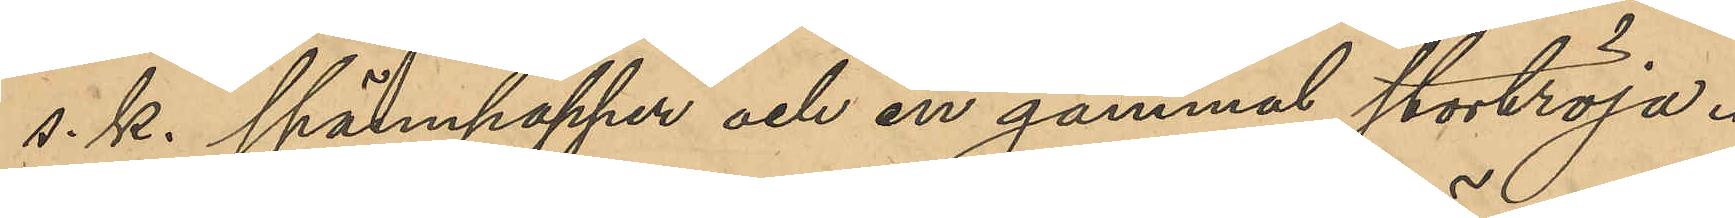s. k. spännpapper och en gammal stortröja.
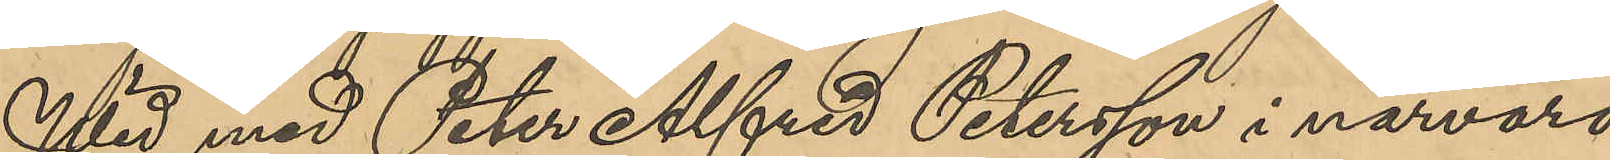Wid med Peter Alfred Petersson i närvaro
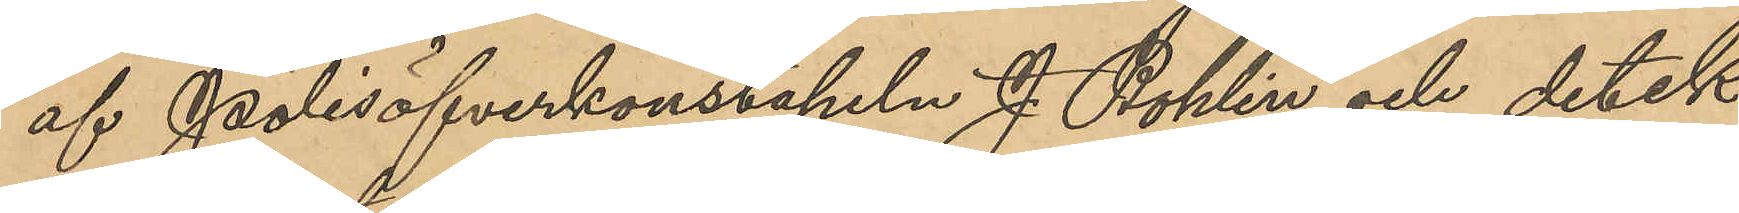af Polisöfverkonstapeln J. Bohlin och detek¬
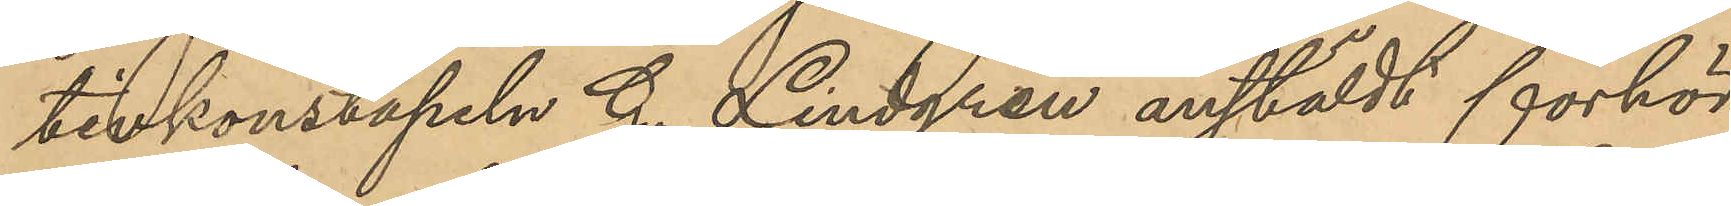tivkonstapeln G. Lindgren anstäldt förhör
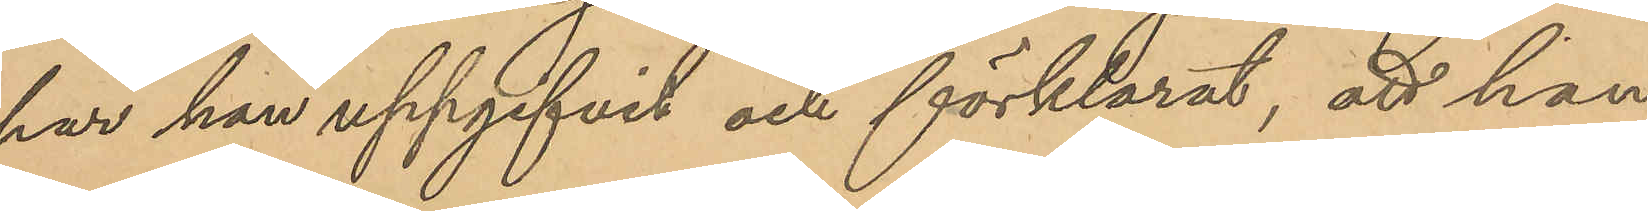har han uppgifvit och förklarat, att han
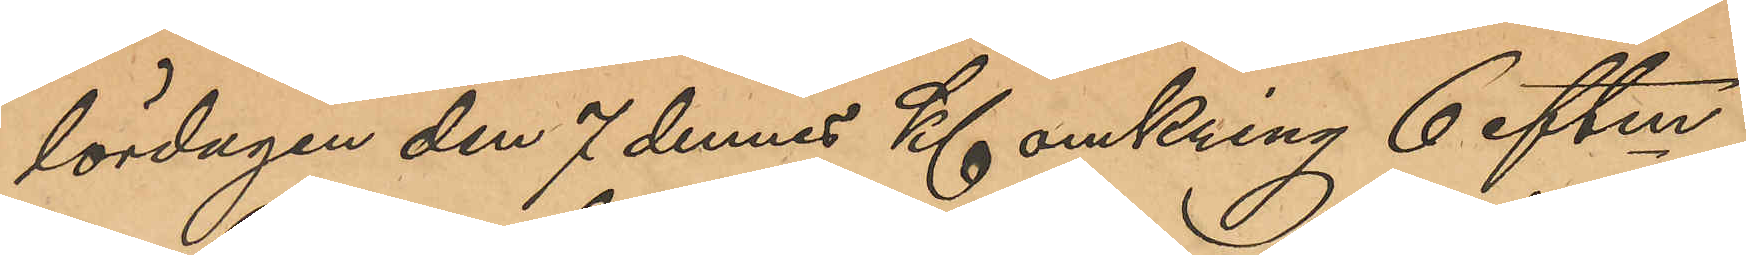lördagen den 7 dennes Kl omkring 6 eftm
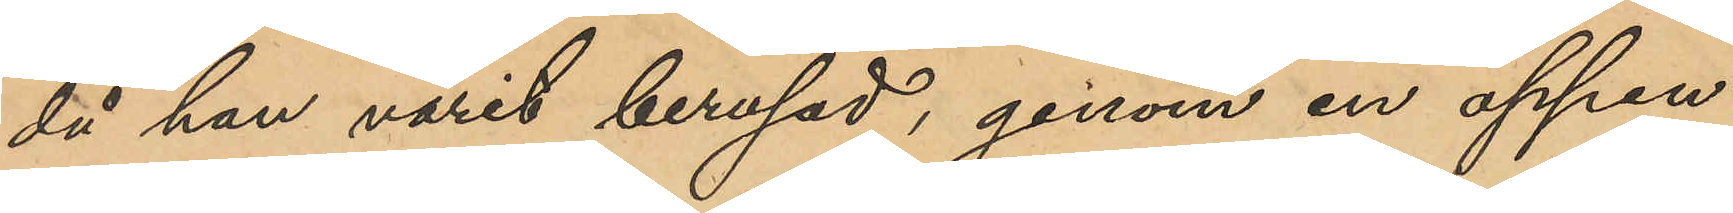då han varit berusad, genom en öppen
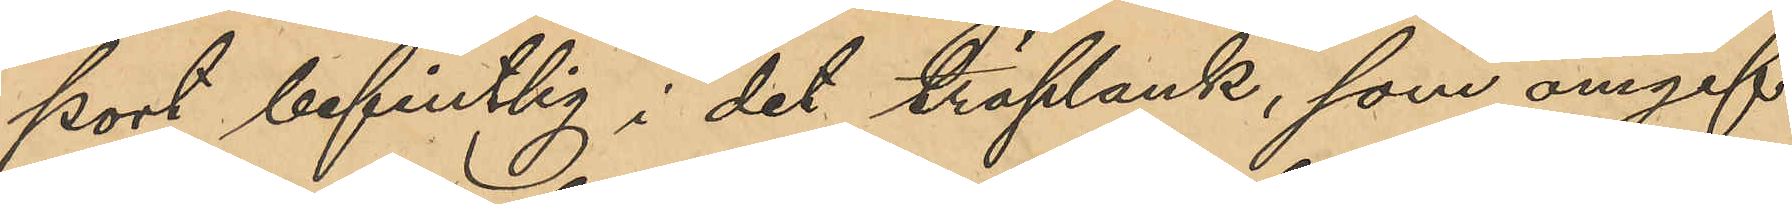port befintlig i det träplank, som omgif¬
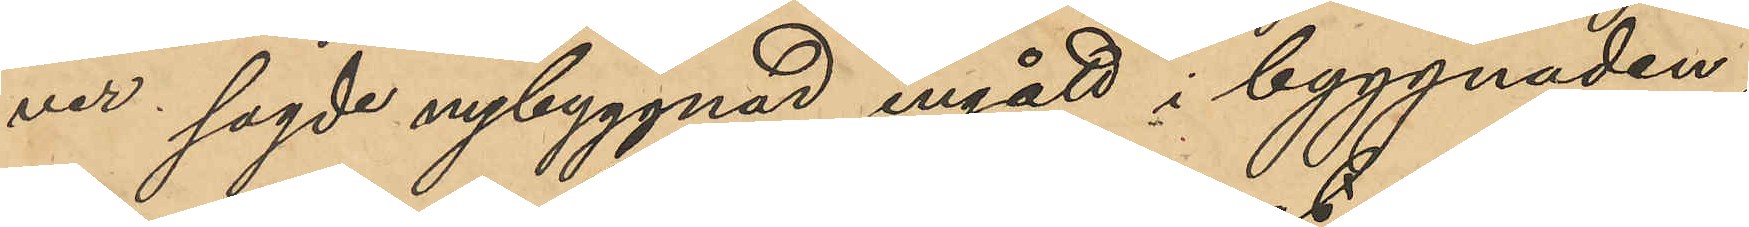ver sagde nybyggnad ingått i byggnaden
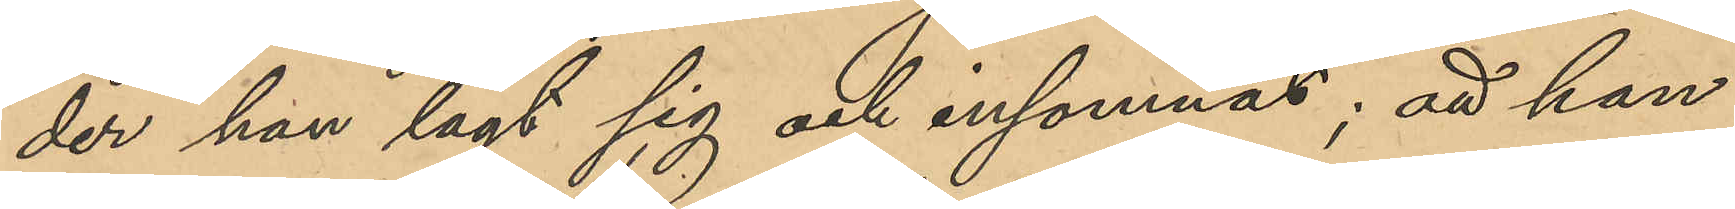der han lagt sig och insomnat; att han
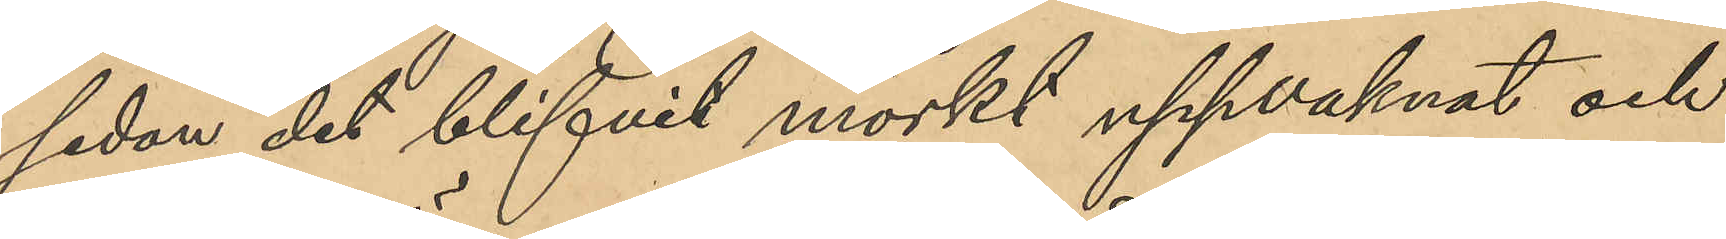sedan det blifvit mörkt uppvaknat och
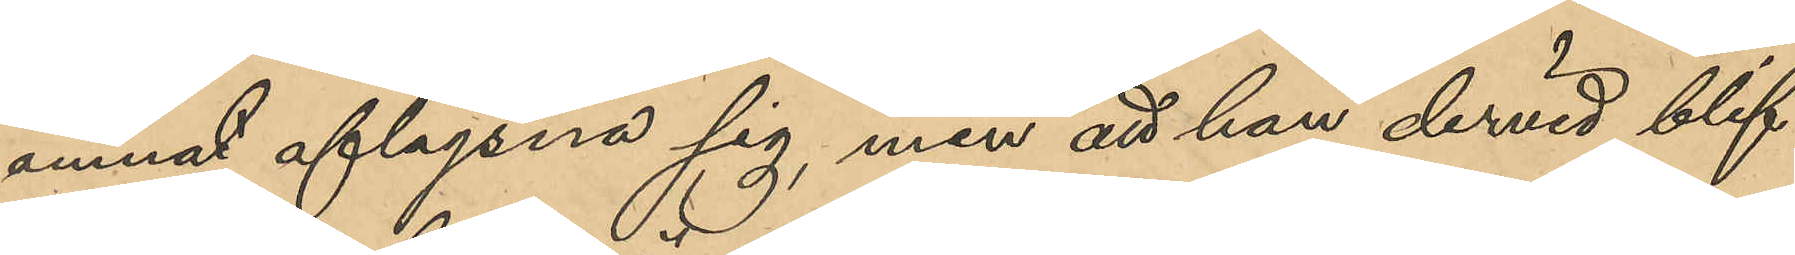ämnat aflägsna sig, men att han dervid blif¬
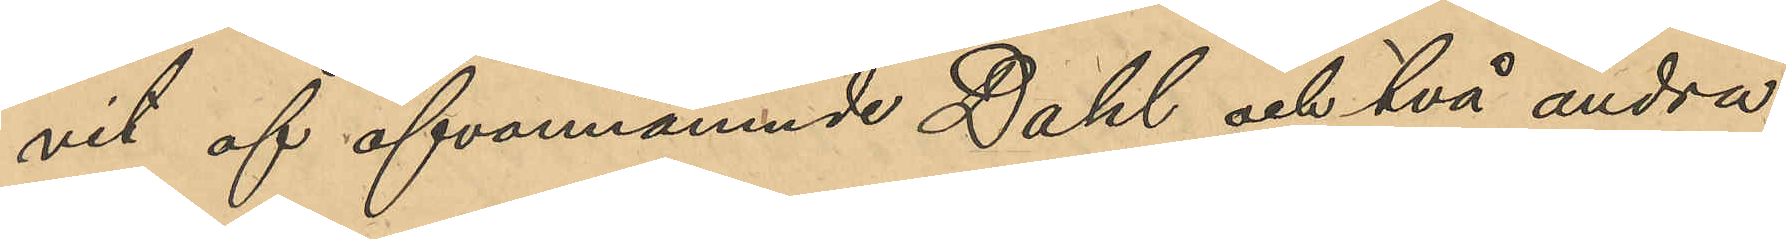vit af ofvannämnde Dahl och två andra
